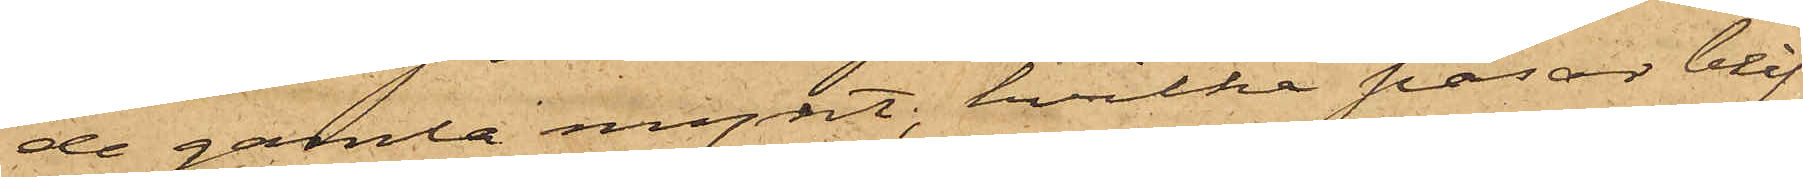de gamla mynt; hvilka påsar blif¬
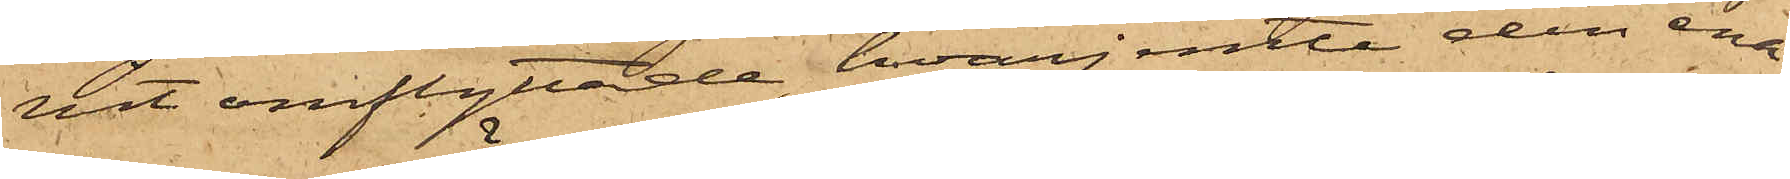vit omflyttade, hvarjemte den ena
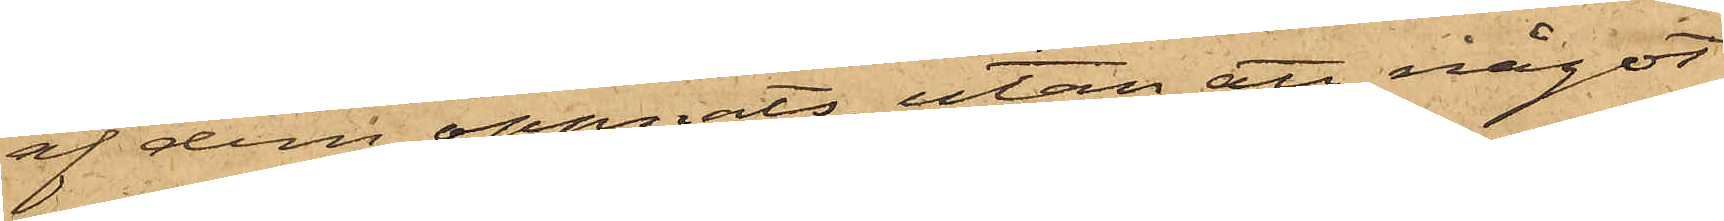af dem öppnats, utan att något
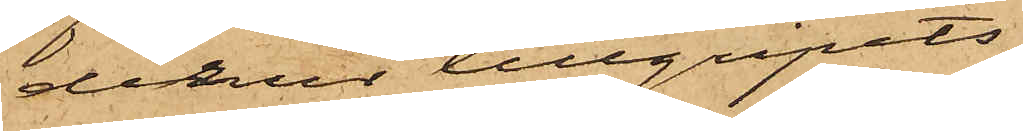derur tillgripits;
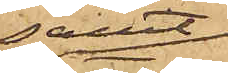samt
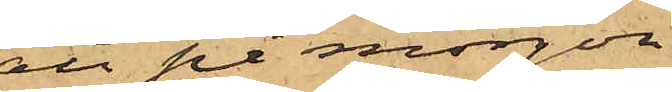att på morgon
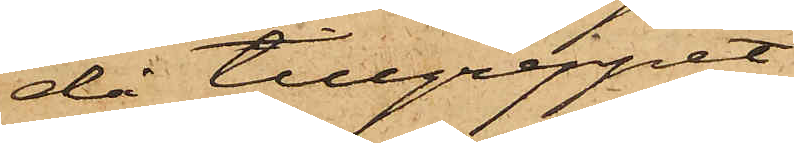då tillgreppet
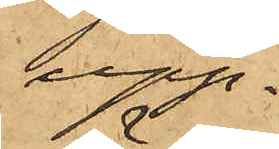upp¬
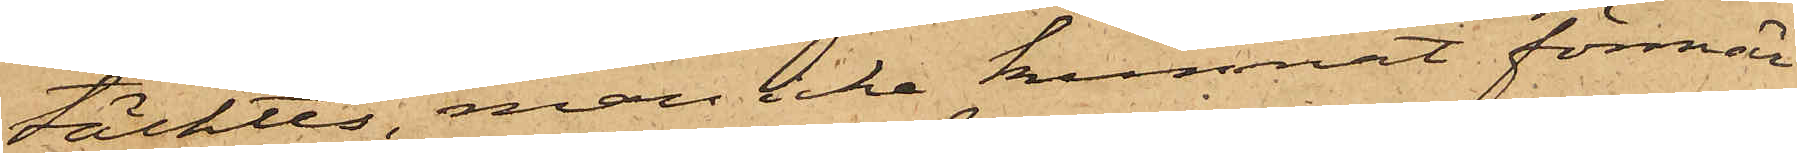täcktes, man icke kunnat förmär¬
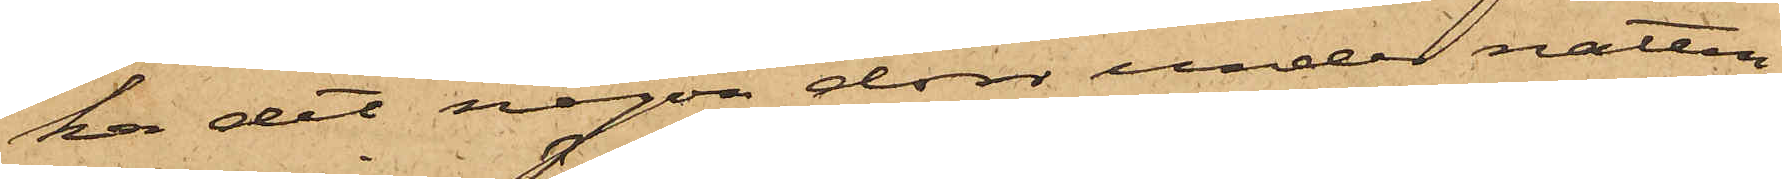ka det någon dörr under natten
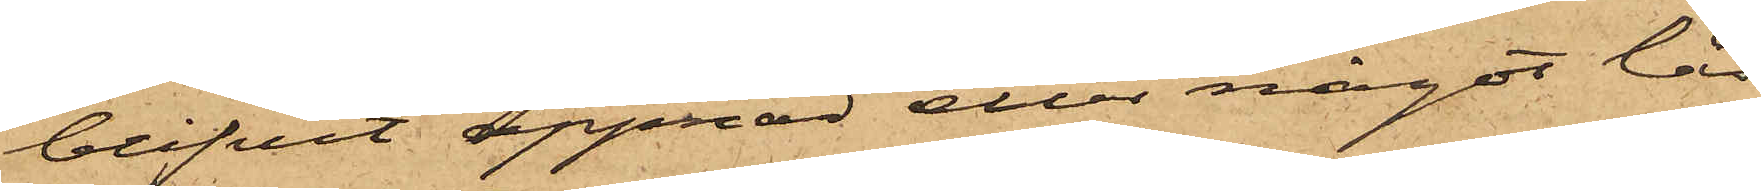blifvit öppnad eller något lås
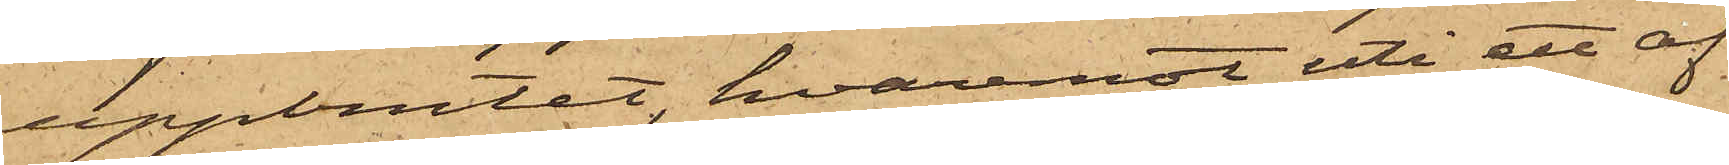uppbrutet, hvaremot uti ett af
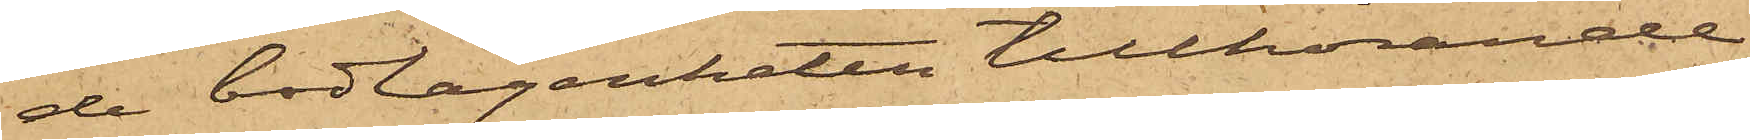de bodlägenheten tillhörande
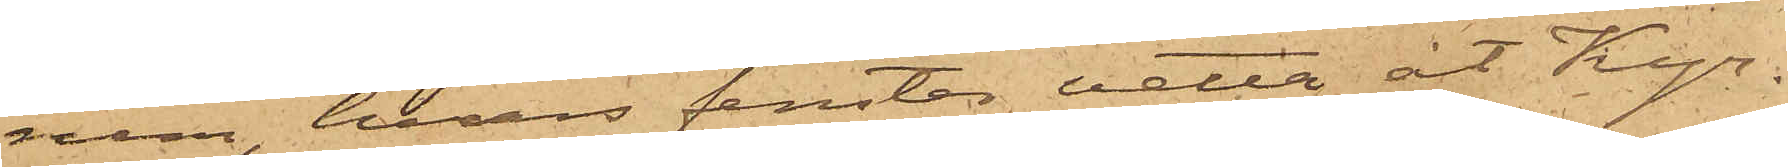rum, hvars fenster vetta åt Kyr¬
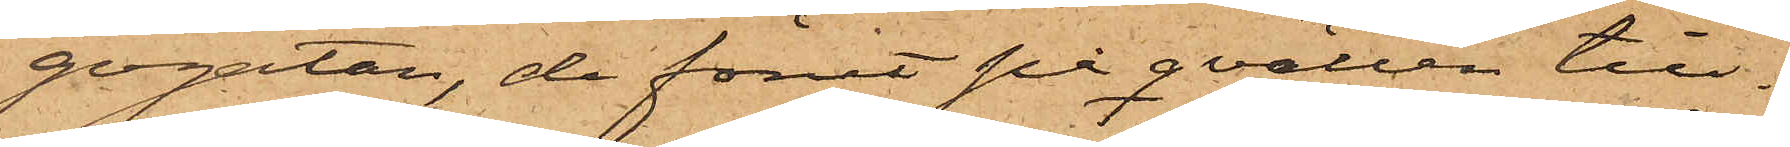gogatan, de förut på qvällen till¬
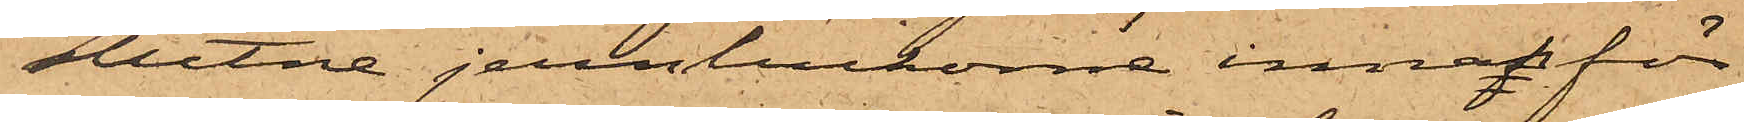slutne jernluckorna innanför
